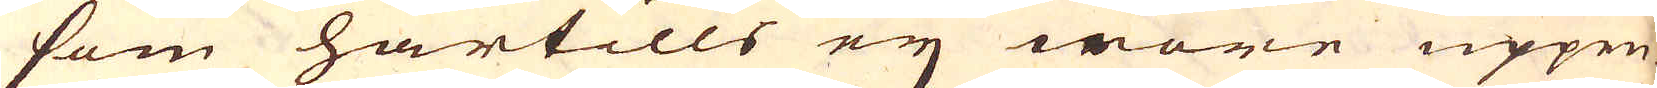som härtills ej wore uppen-
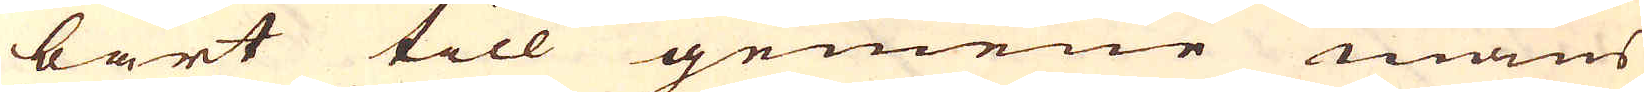bart till gemene mans
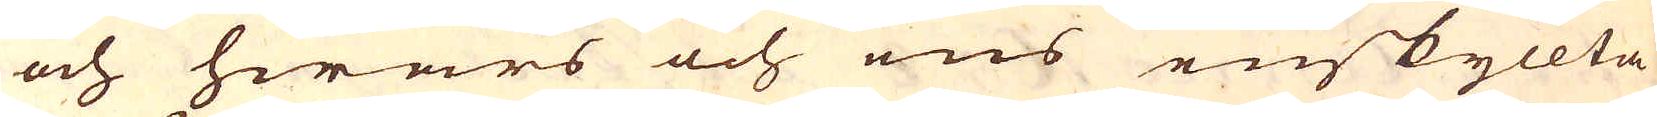och hwars och ens enskyllta
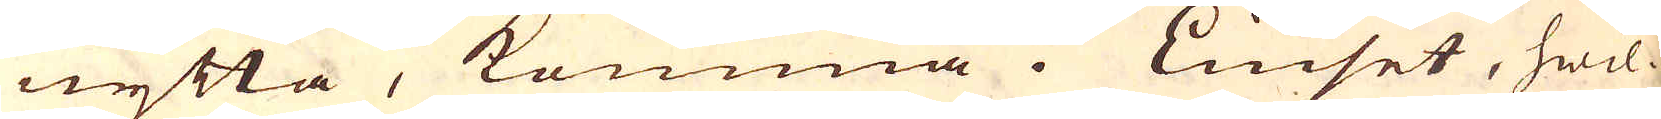nytta, komma i Liuset, hwil-
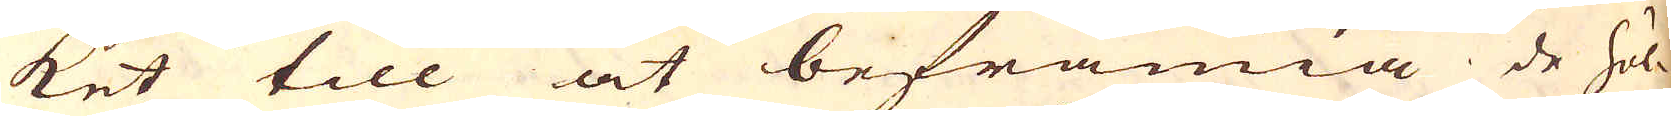ket till at befrämia de höl-
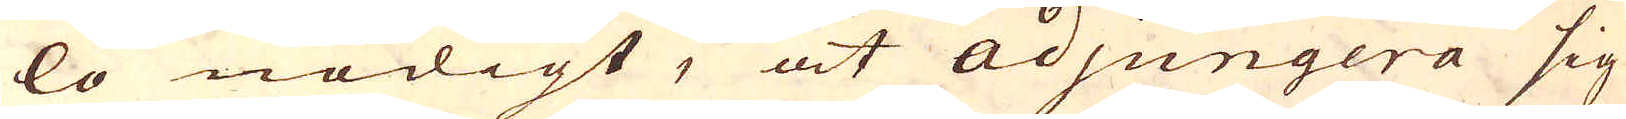lo nödigt, at adjungera sig
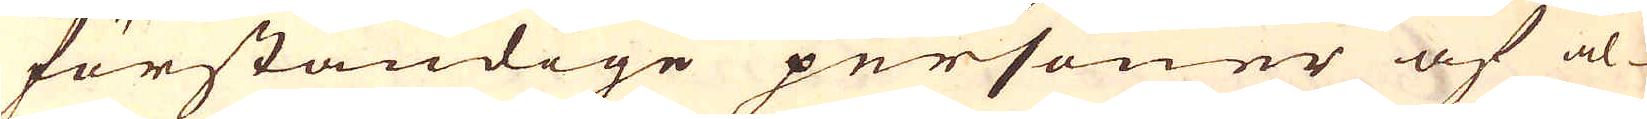förståndige personer af al-
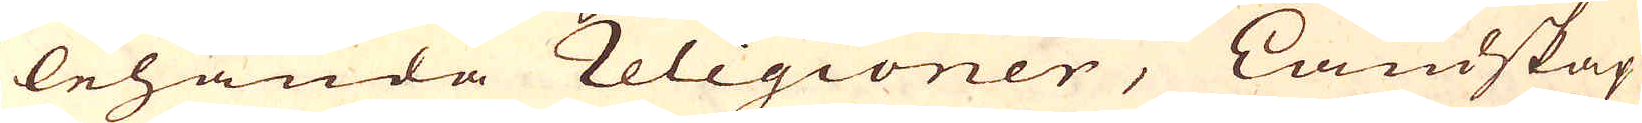lehanda religioner, Landskap
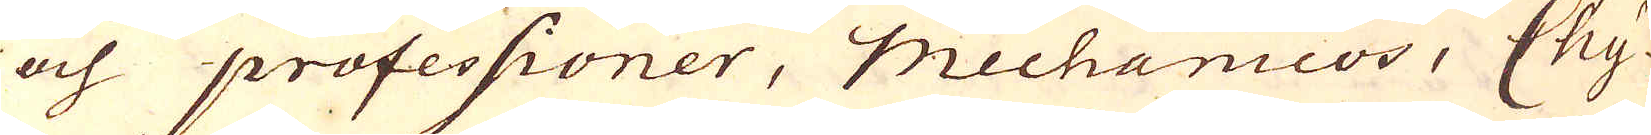och professioner, Mechanicos, Chy-
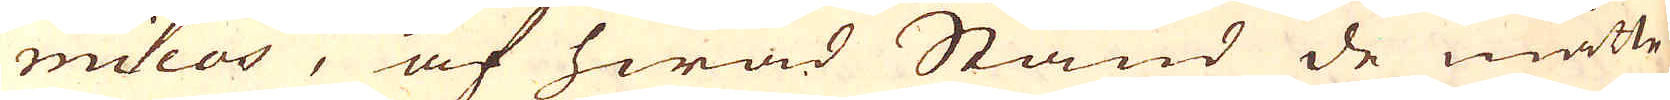micos, af hwad Stånd de måtte
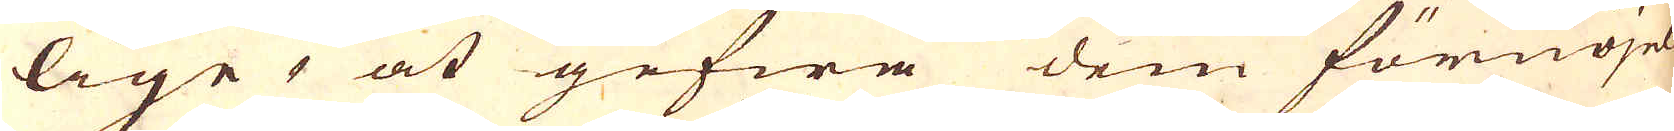lige at gifwa dem förnöjel-
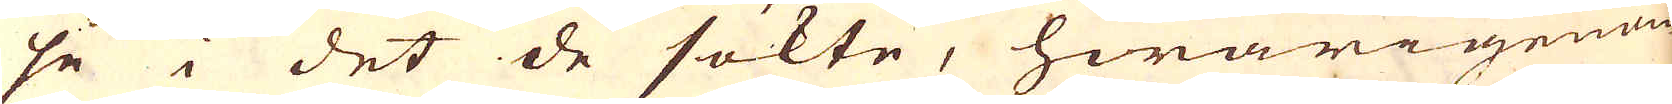se i det de sökte, hwarigenom
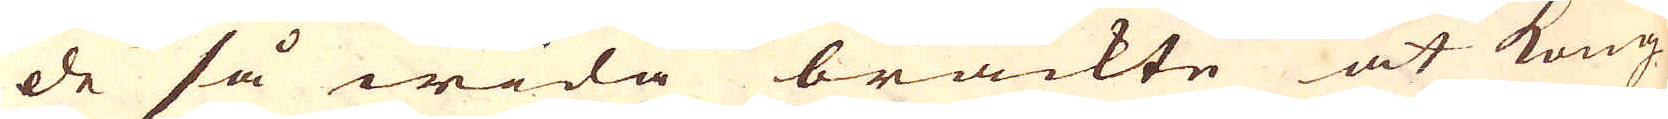de så wida brackte at Kong
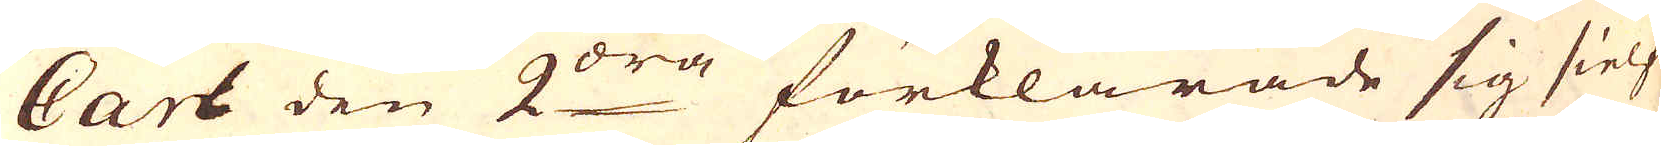Carl den 2:dra förklarade sig sielf
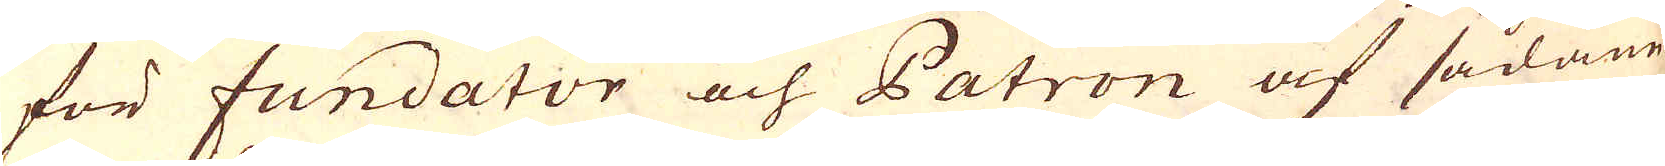för fundator och Patron af sådane
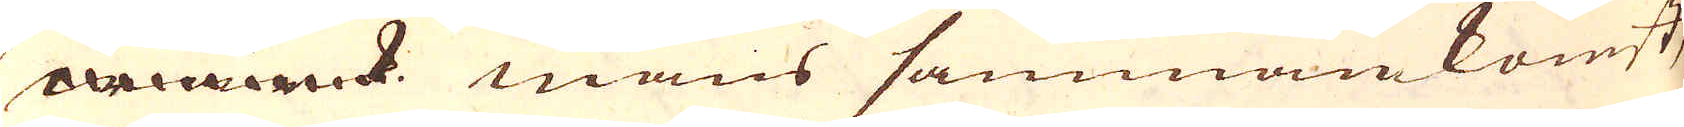wärk mäns sammankomst,
